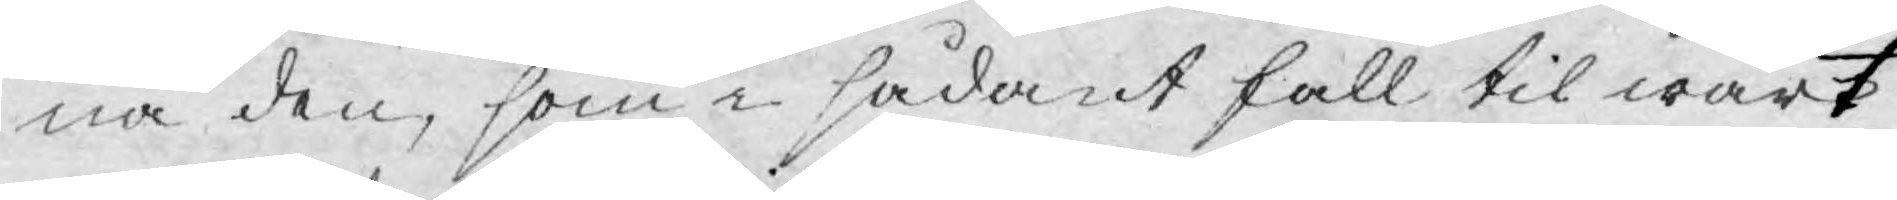na den, som i sådant fall til wårt
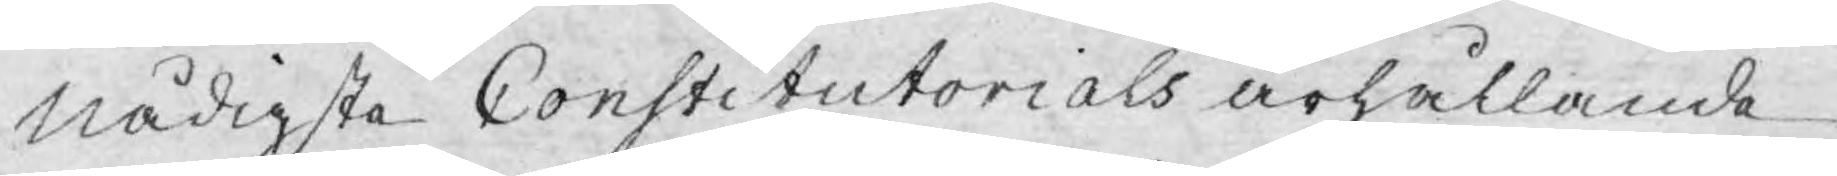Nådigste Constitutorials ärhållande
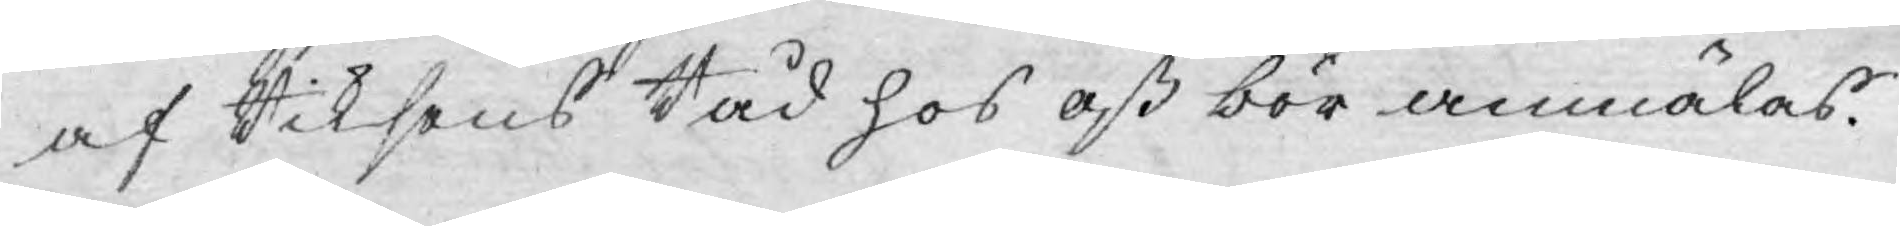af Riksens Råd hos oss bör anmälas.
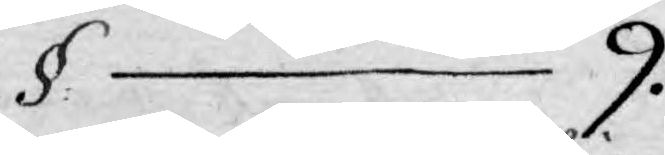§. 9.
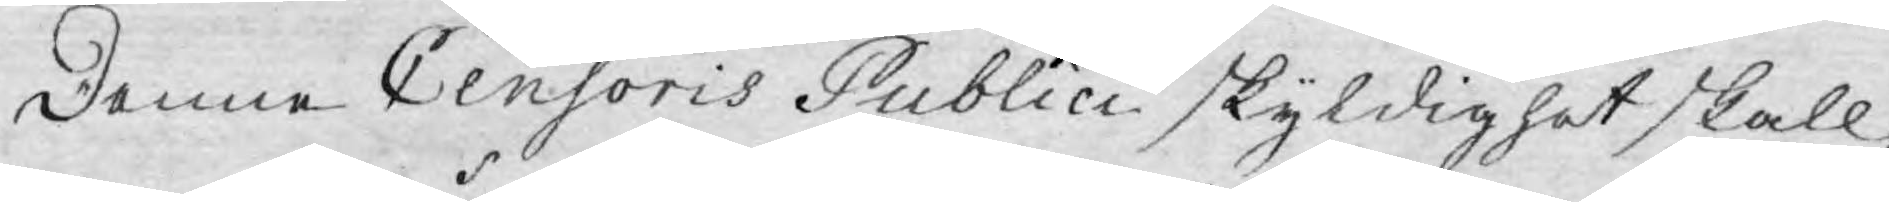Denne Censoris Publici skyldighet skall,
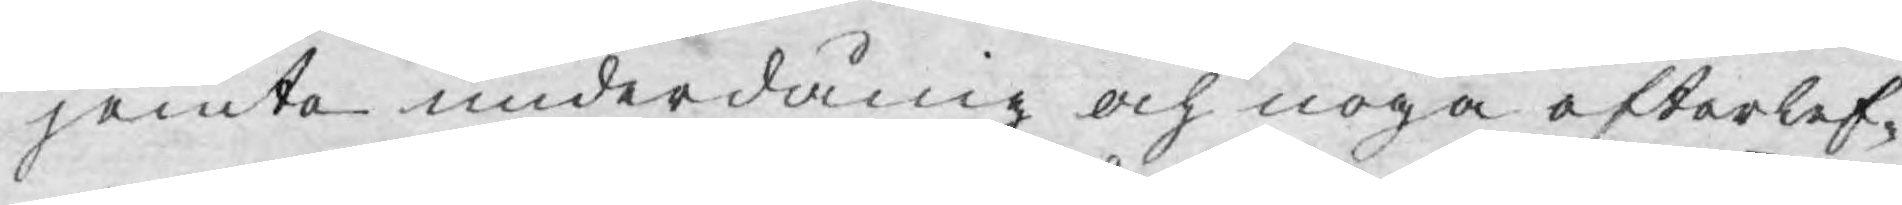jemte underdånig och noga efterlef¬
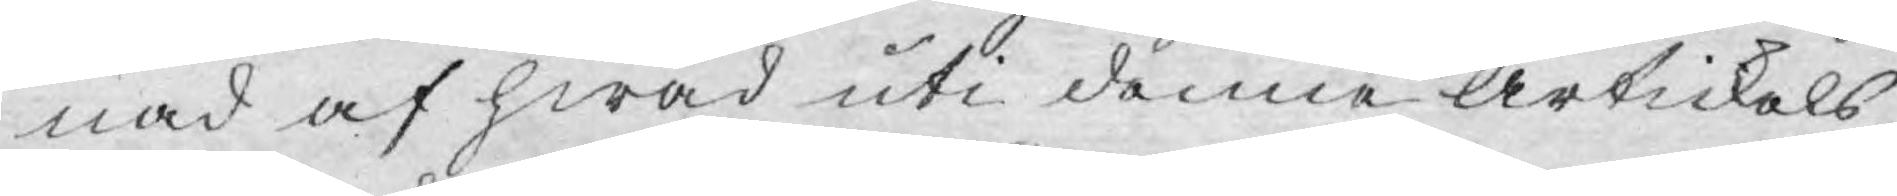nad af hwad uti denne Artickels
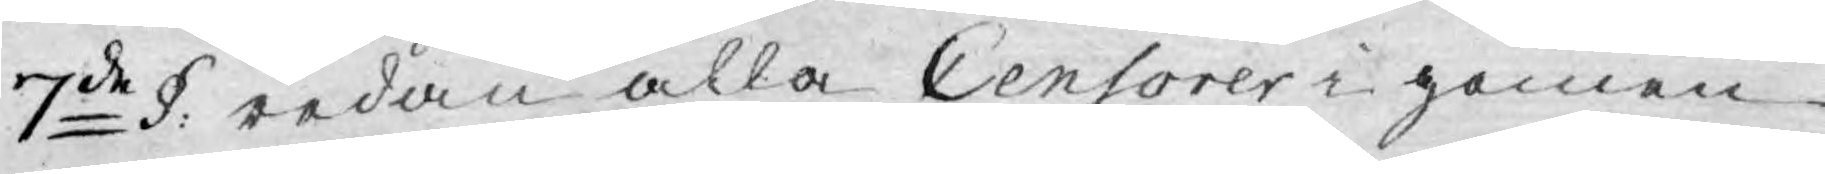7de §: redan alla Censorer i gemen
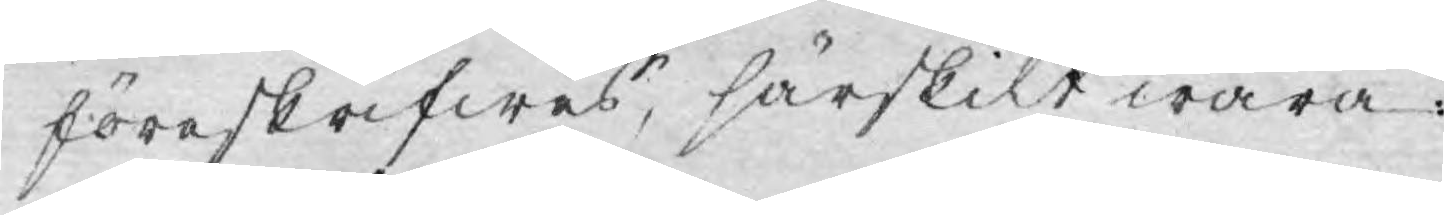föreskrifwes, särskilt wara.
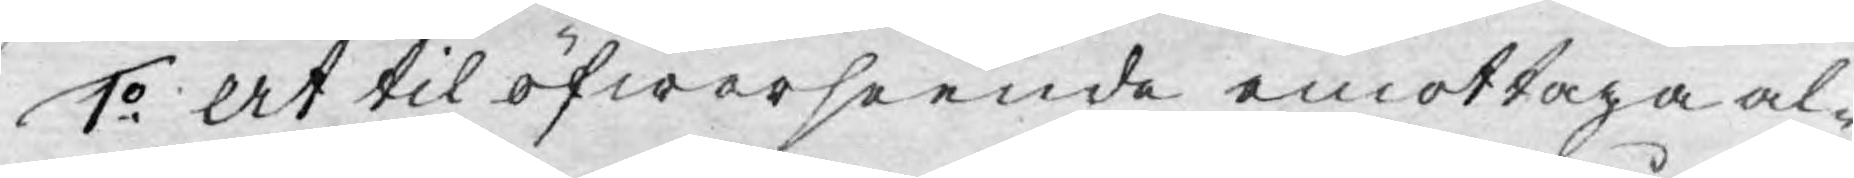1o At til öfwerseende emottaga al¬
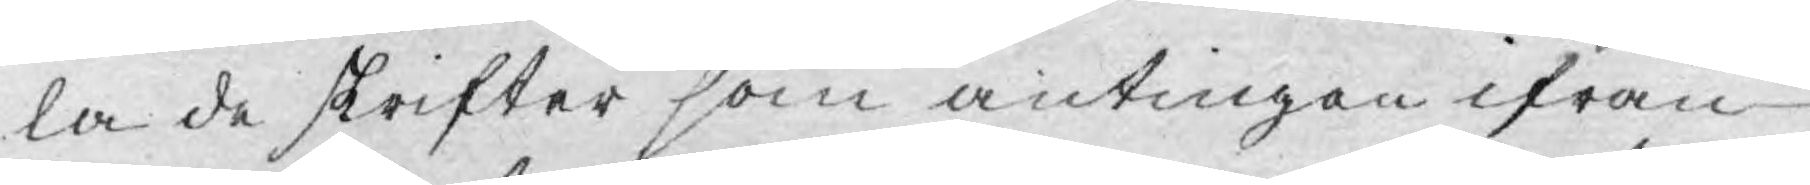la de skrifter som antingen ifrån
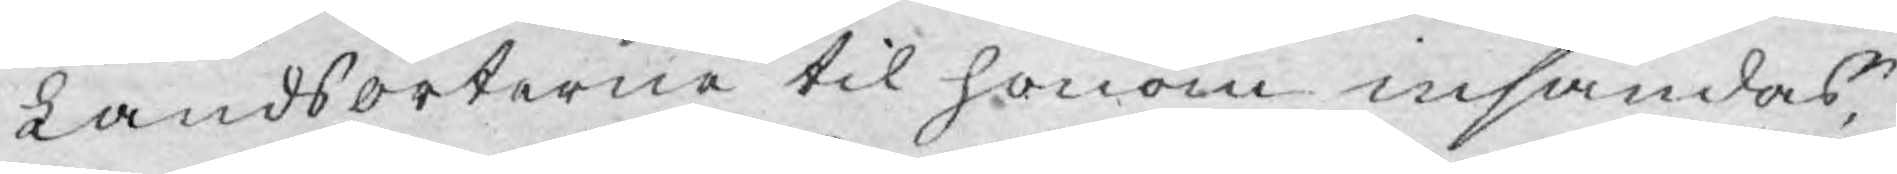Landsorterne til honom insändas,
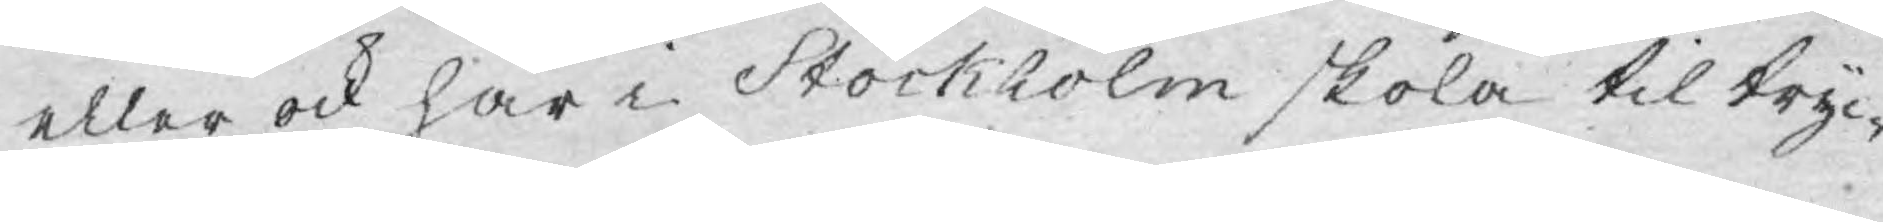eller ock här i Stockholm skola til tryc¬
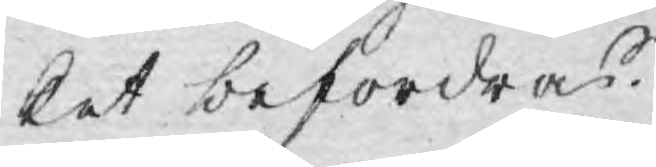ket befordras.
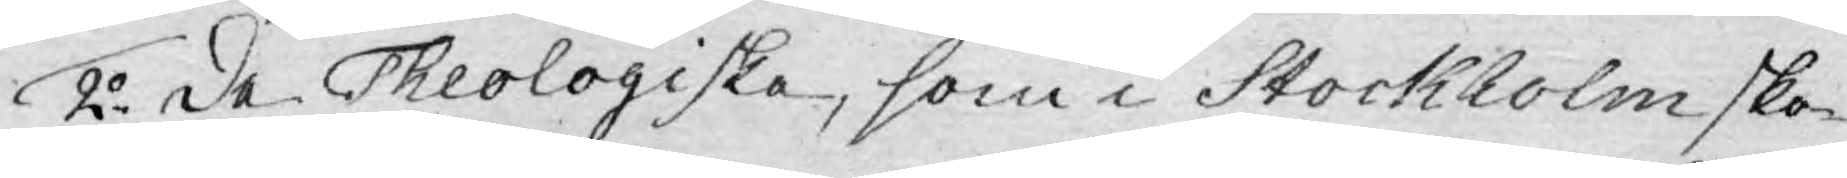2o De Theologiska, som i Stockholm sko¬
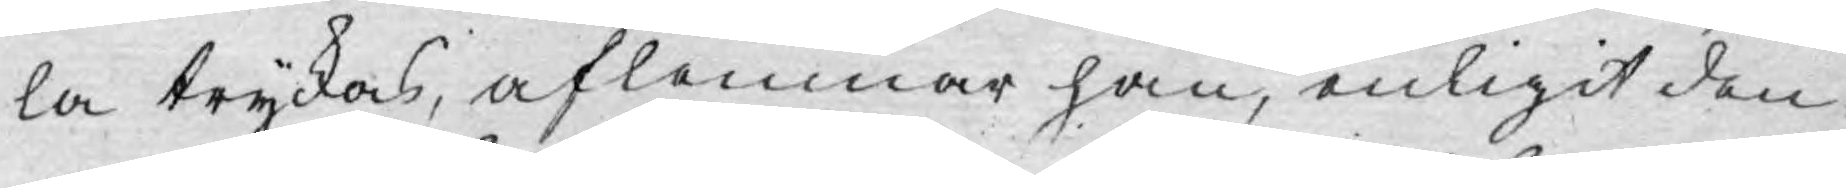la tryckas, aflemnar han, enligit den¬
